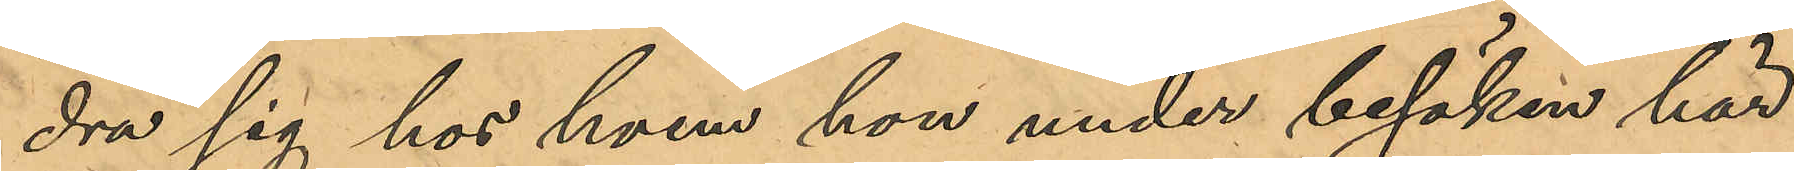dra sig hos hvem hon under besöken här
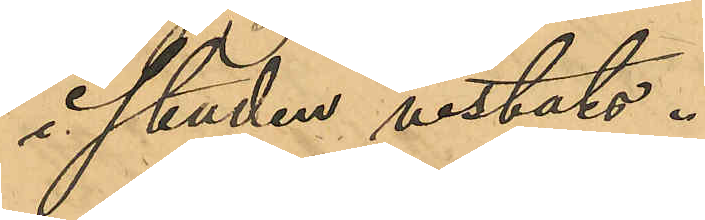i staden vistats.
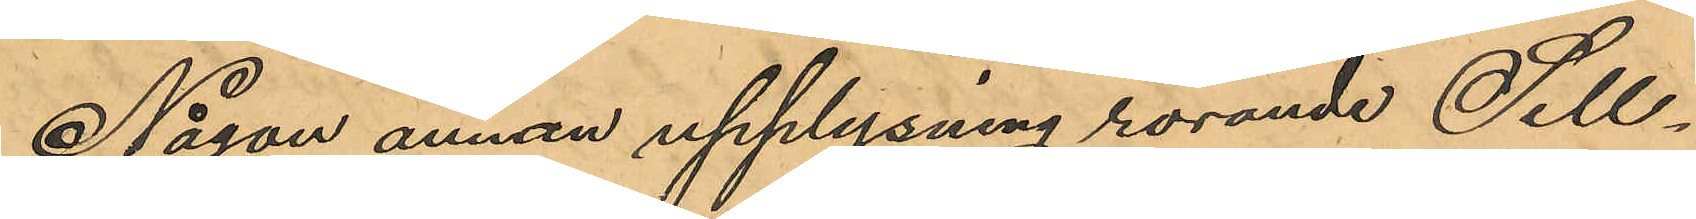Någon annan upplysning rörande Sell¬
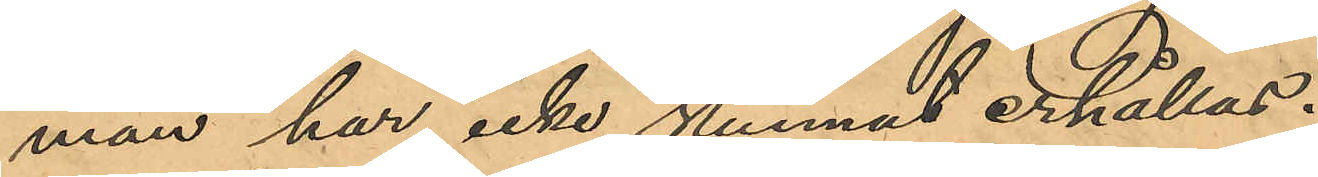man har icke kunnat erhållas.
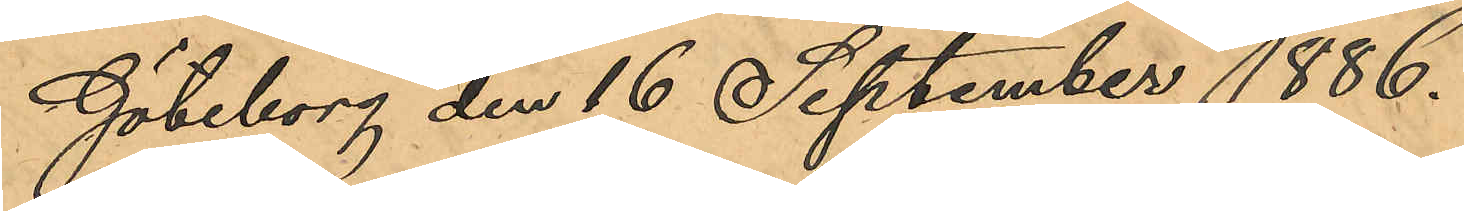Göteborg den 16 September 1886.
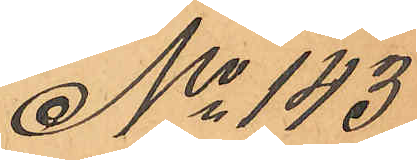No 143
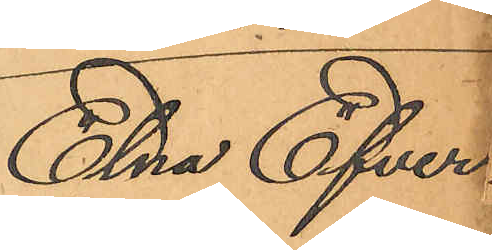Elna Efver¬
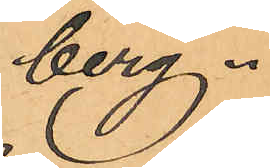berg.
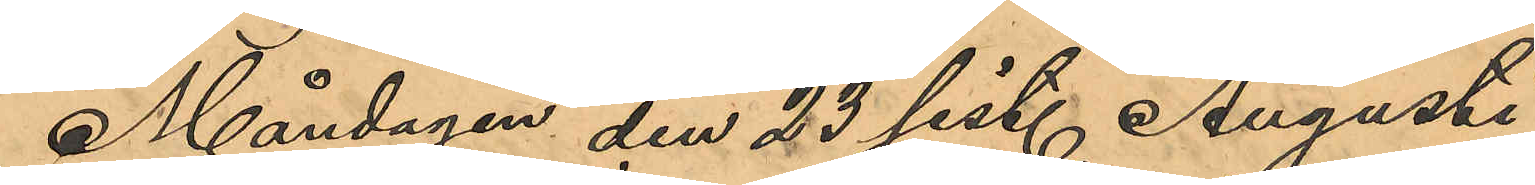Måndagen den 23 sist. Augusti
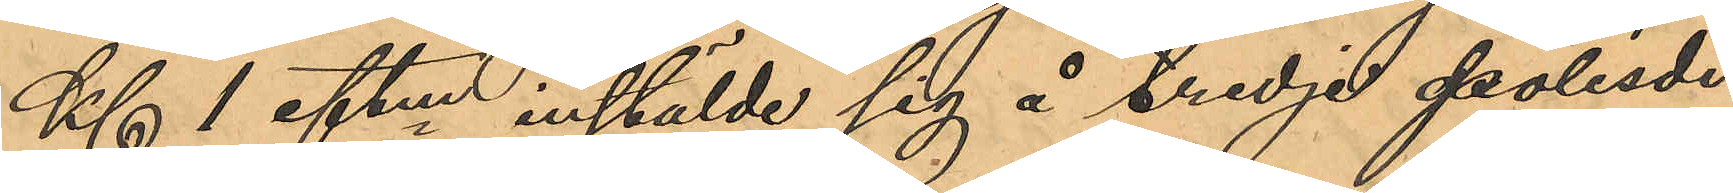Kl 1 eftm instälde sig å tredje polisdi¬
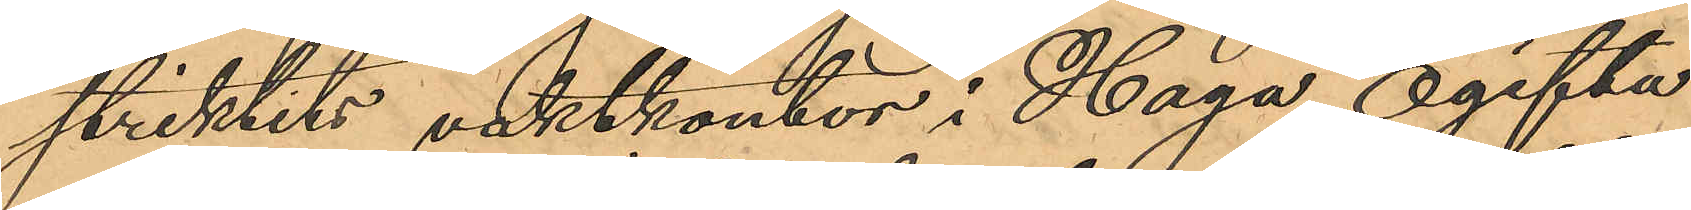striktits vaktkontor i Haga, ogifta
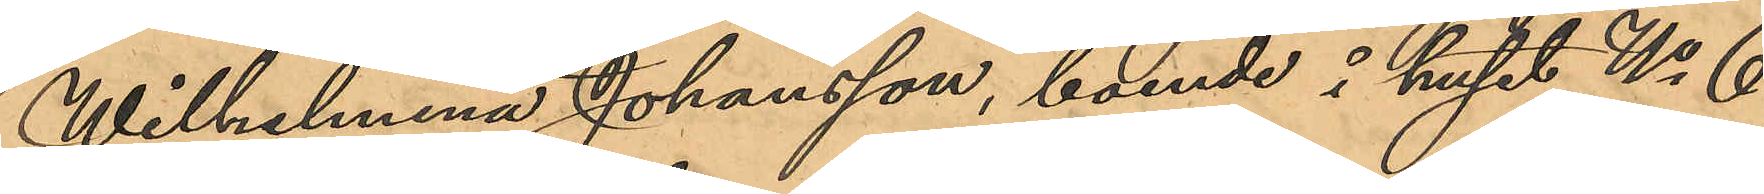Wilhelmina Johansson, boende i huset No 6
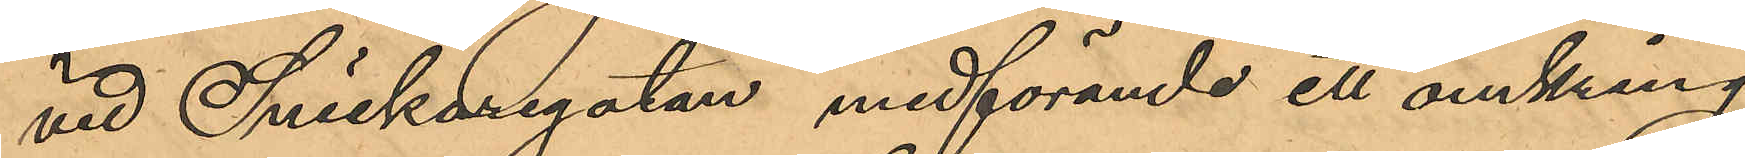vid Snickaregatan medförande ett omkring
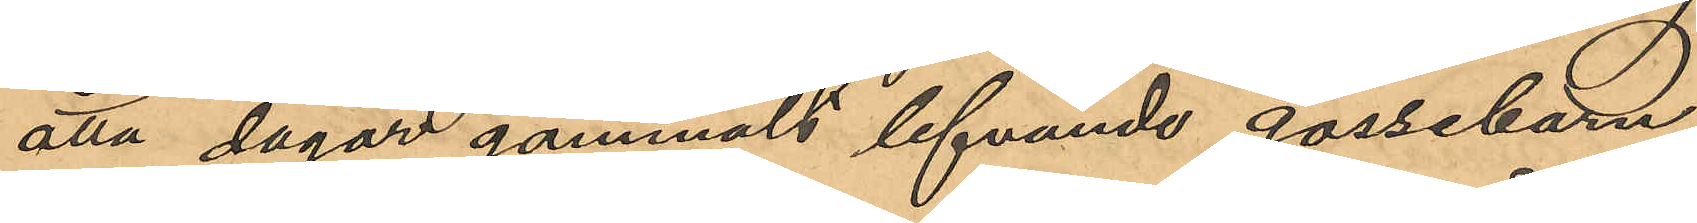åtta dagar gammalt lefvande gossebarn,
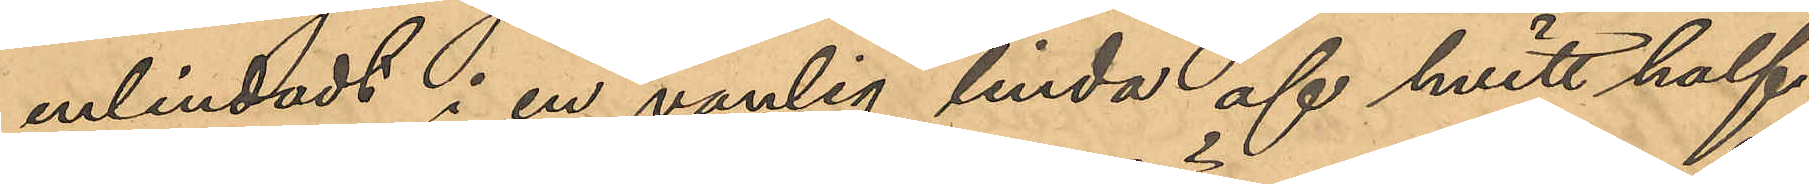inlindadt i en vanlig linda af hvitt half¬
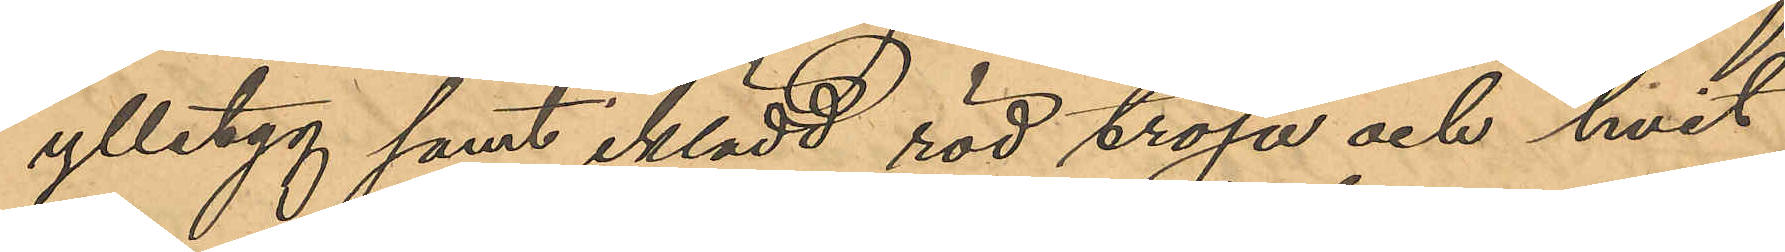ylletyg samt iklädd röd tröja och hvit
